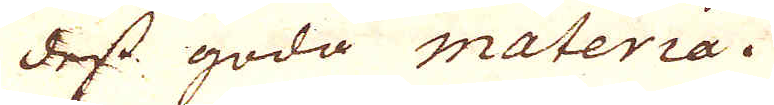dess goda materia.
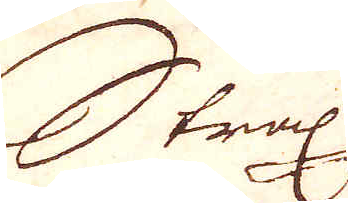Strax
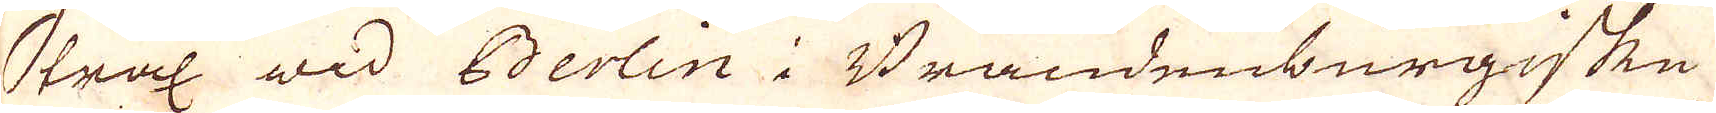Strax wid Berlin i Brandenburgiske
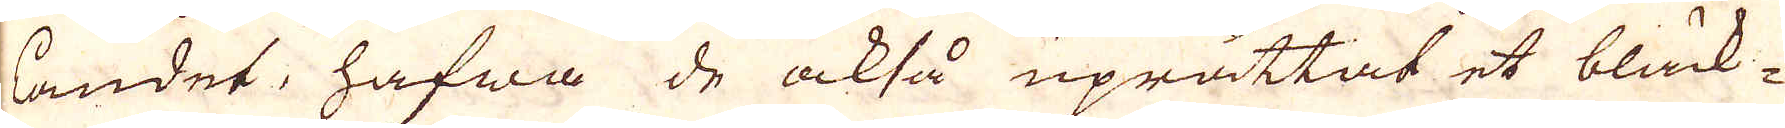landet, hafwa de också uprättat et bläck-
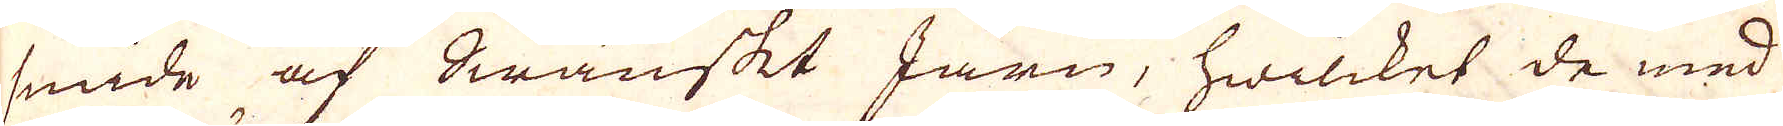smide af Swänskt Järn, hwilcket de med
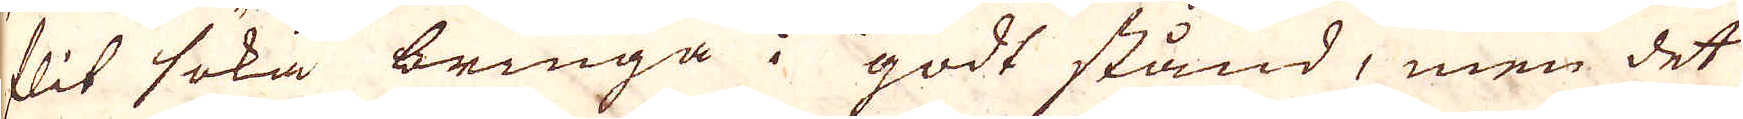flit söka bringa i godt stånd, men det
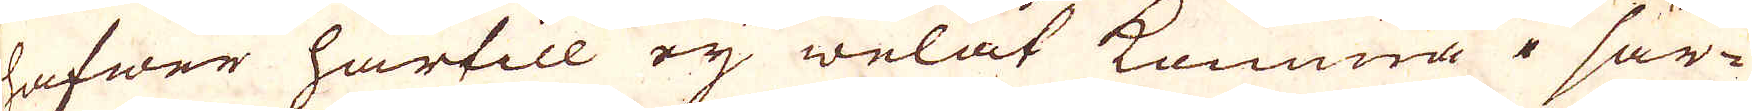hafwer härtill ej welat komma i sär-
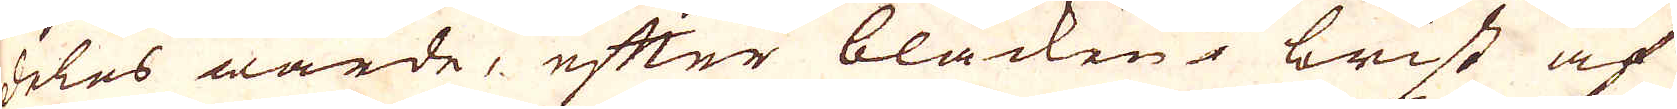deles wärde, efter bläcken i brist af
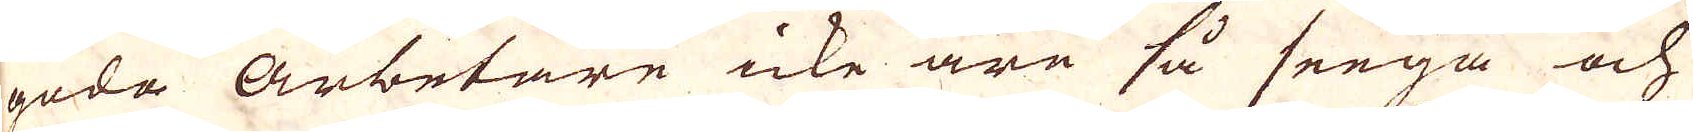goda Arbetare icke äre så seega och
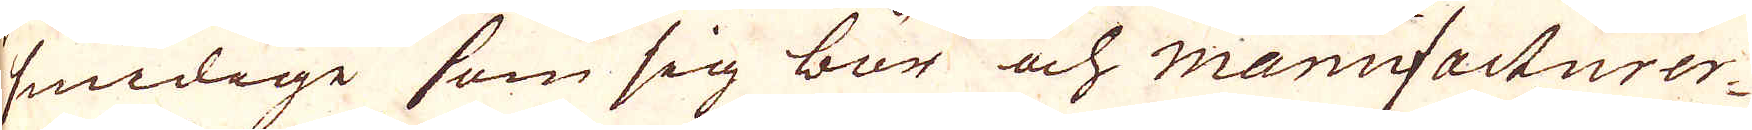smidige som sig bör och manufacturer-
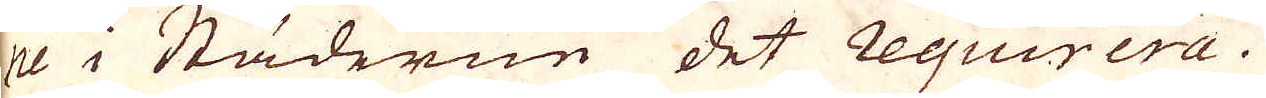ne i Städerne det Requirera.
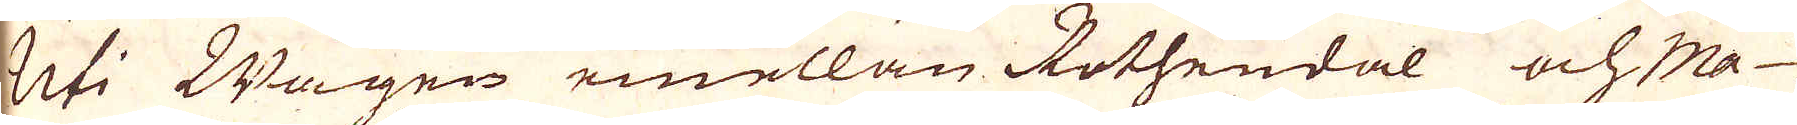Uti Wägen emellan Rothendal och Ma-
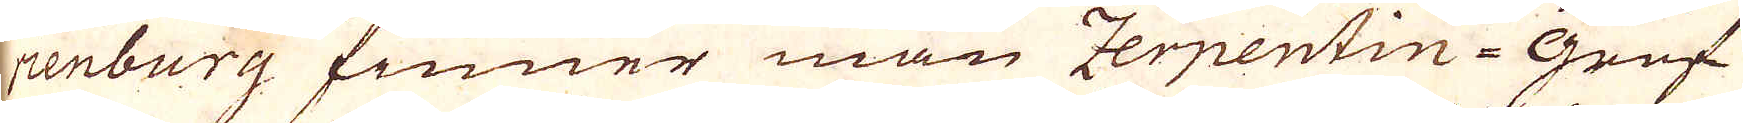rienburg finner man Zerpentin-Gruf-
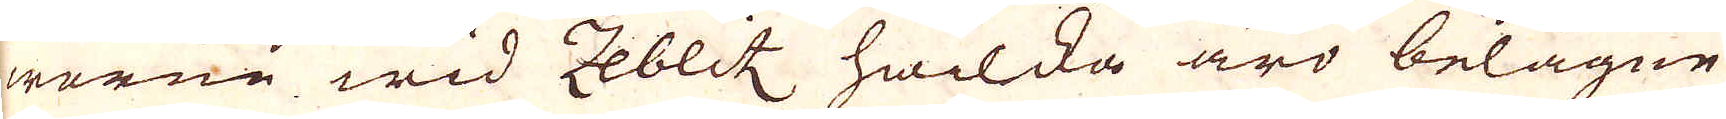werne wid Zeblit hwilcka äro belägne
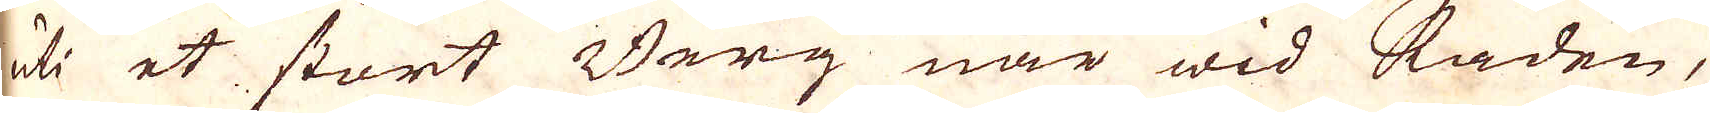uti et stort Berg när wid staden,
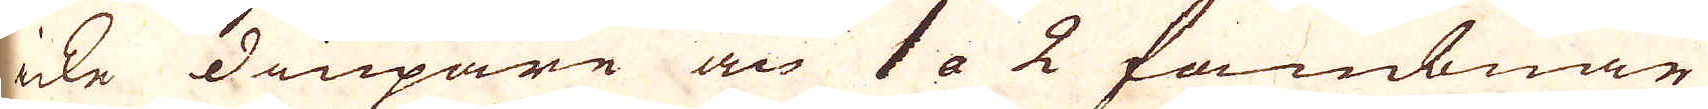icke diupare än 1 a 2 fambnar
